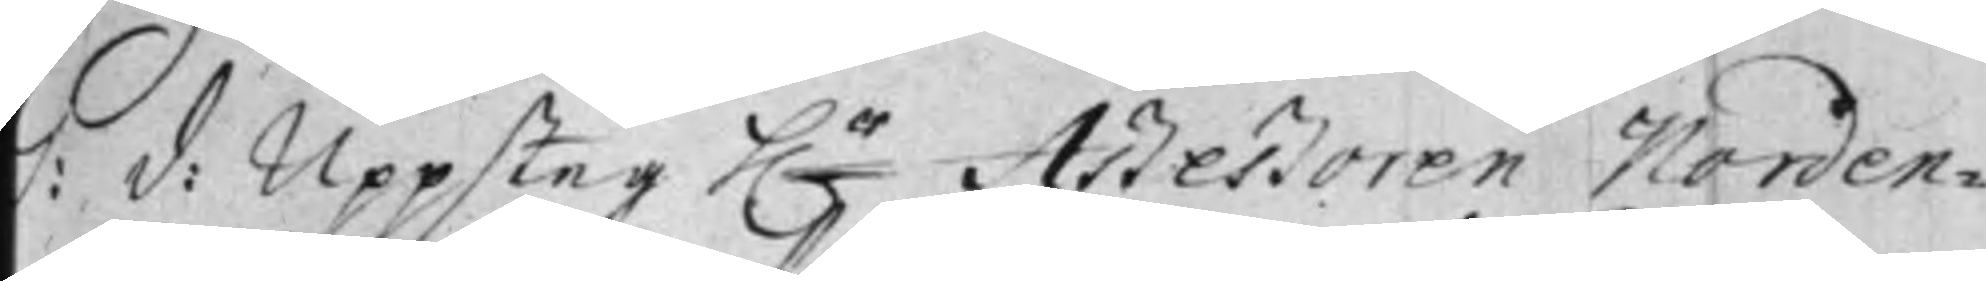S: d: Uppsteg h.r Aßeßoren Norden¬
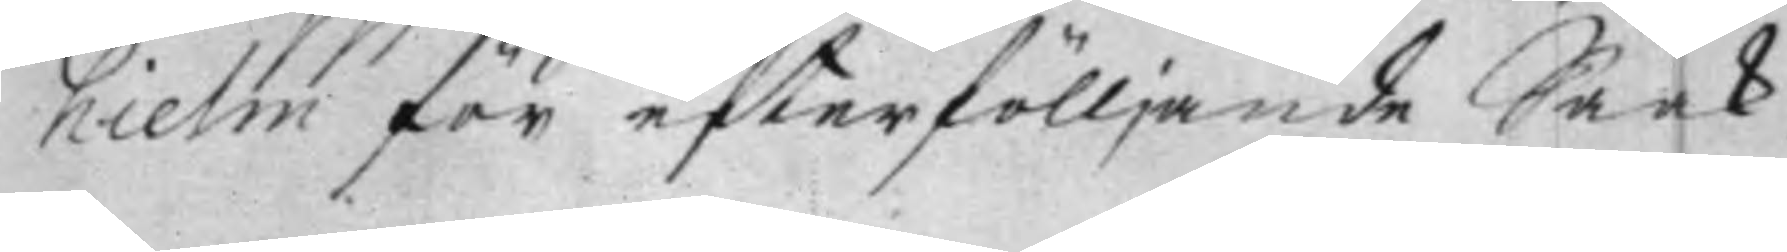hielm för efterfölljande Saak.
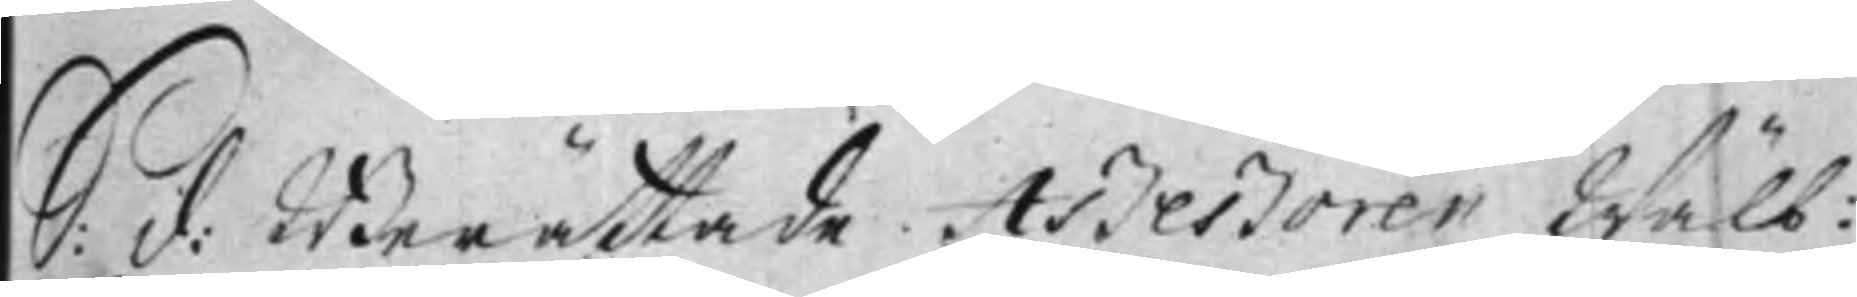S: d: Berättade Aßeßoren Wälb:
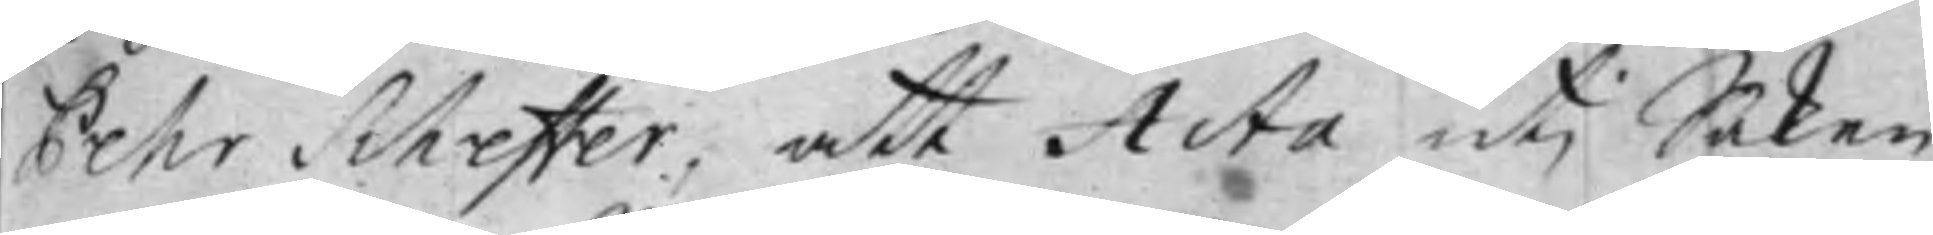Pehr Scheffer, att Acta uti Saken
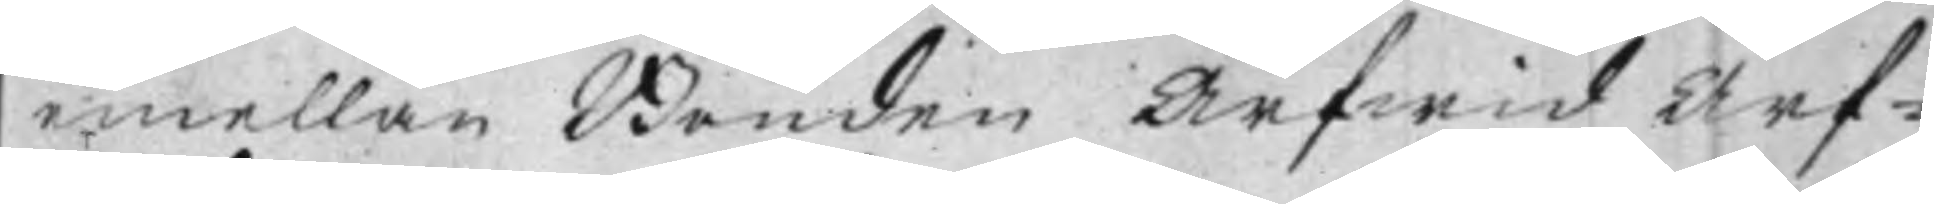imellan Bonden Arfwid Arf¬
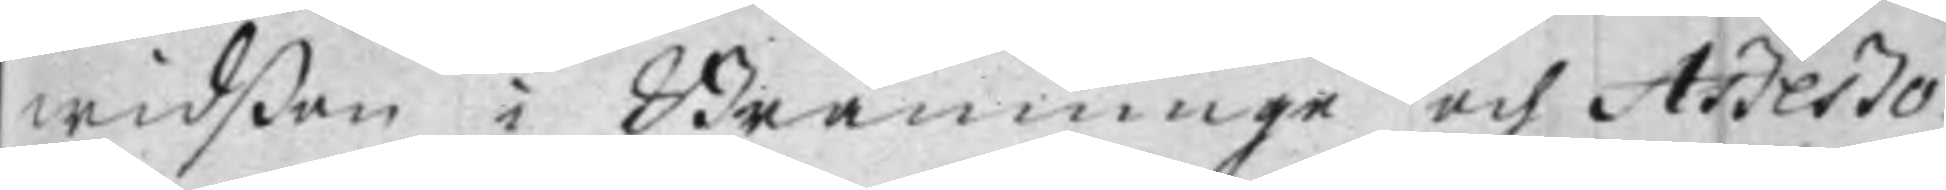widßon i Bränninge och Aßeßo¬
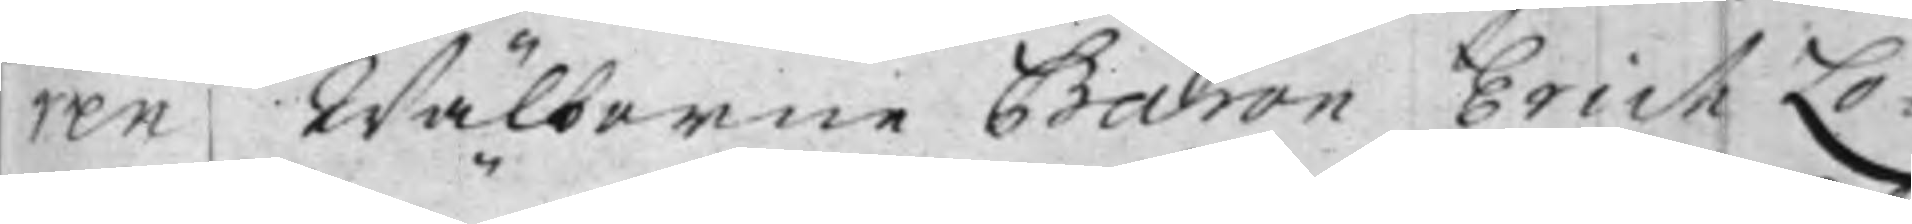ren Wälborne Baron Erich Lo¬
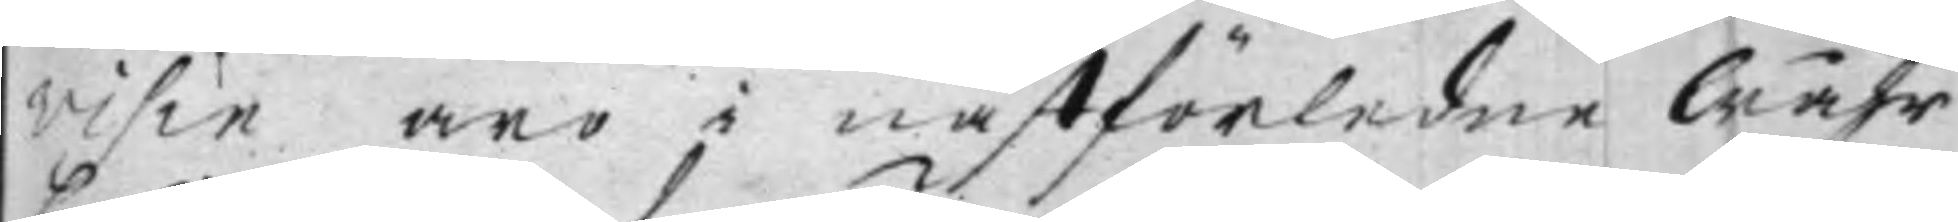visin äro i nästförledne Wåhr
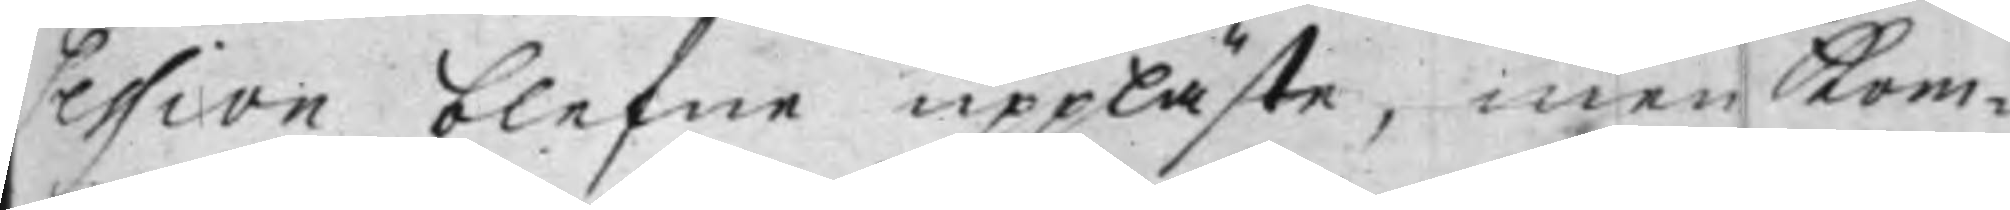Session blefne uppläste, men Kom¬
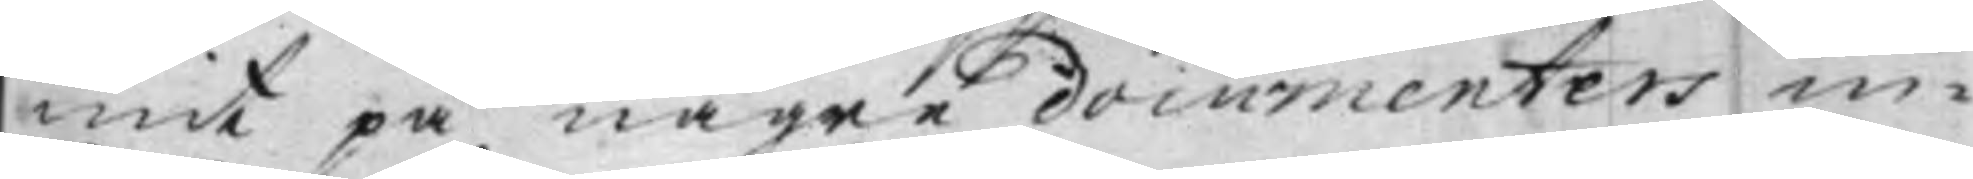mit på, någre documenters in¬
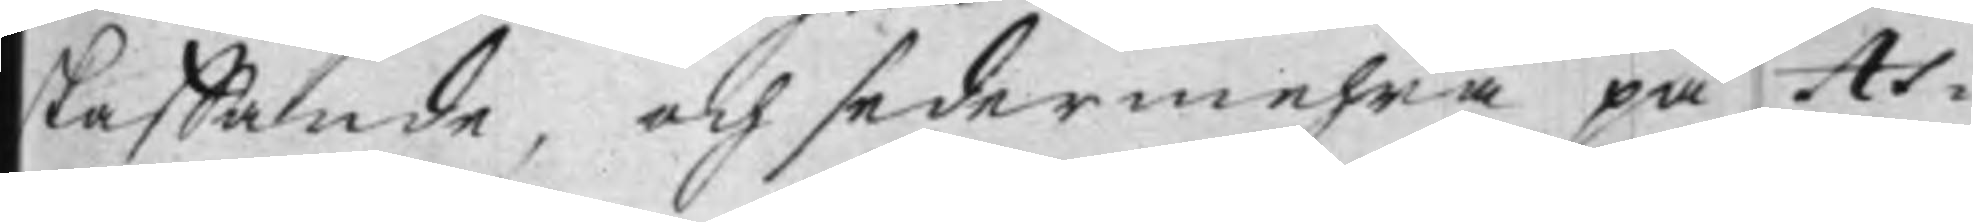skaffande, och sedermehra på As¬
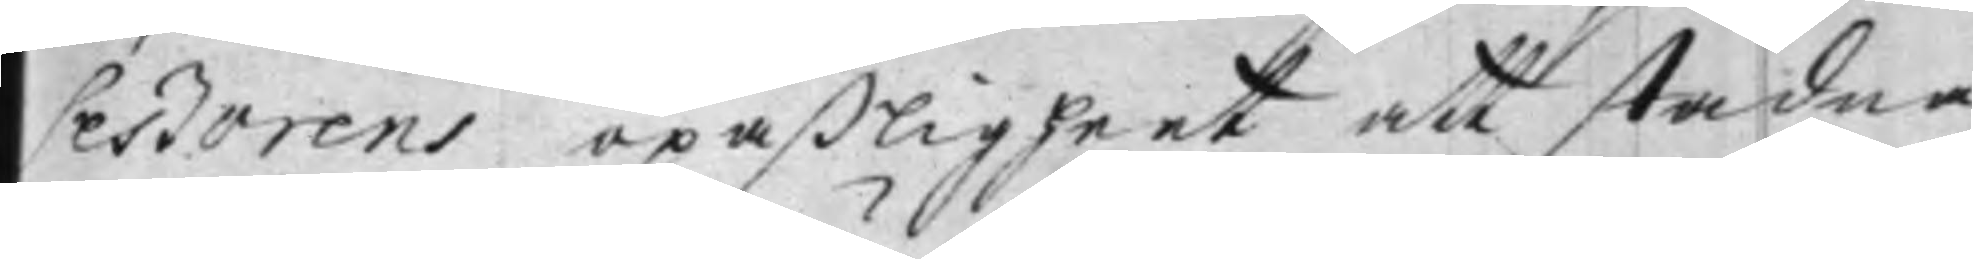seßorens opaßligheet att stadna,
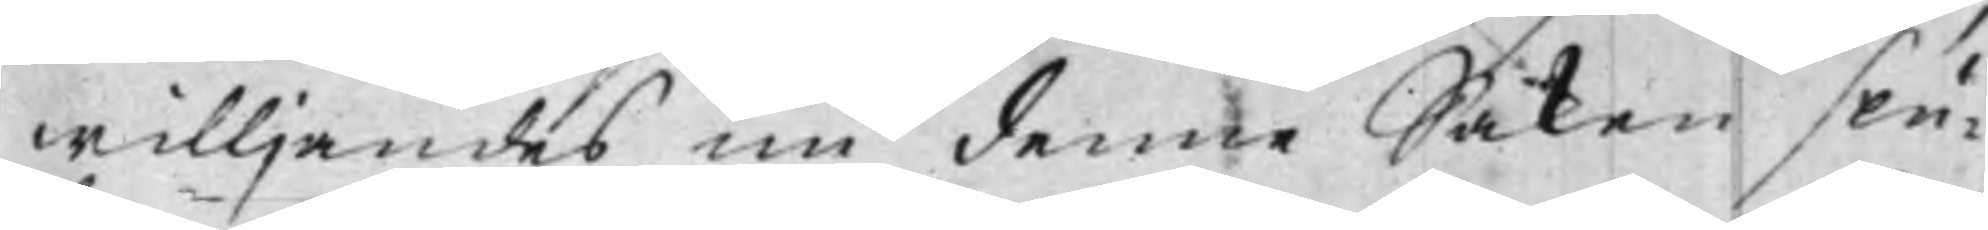willjandes nu denne Saken slu¬
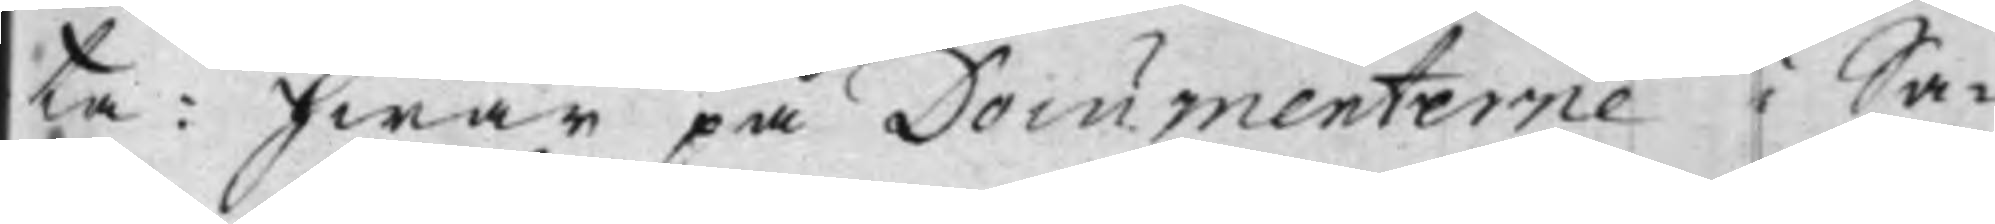ta: Hwar på Documenterne i Sa¬
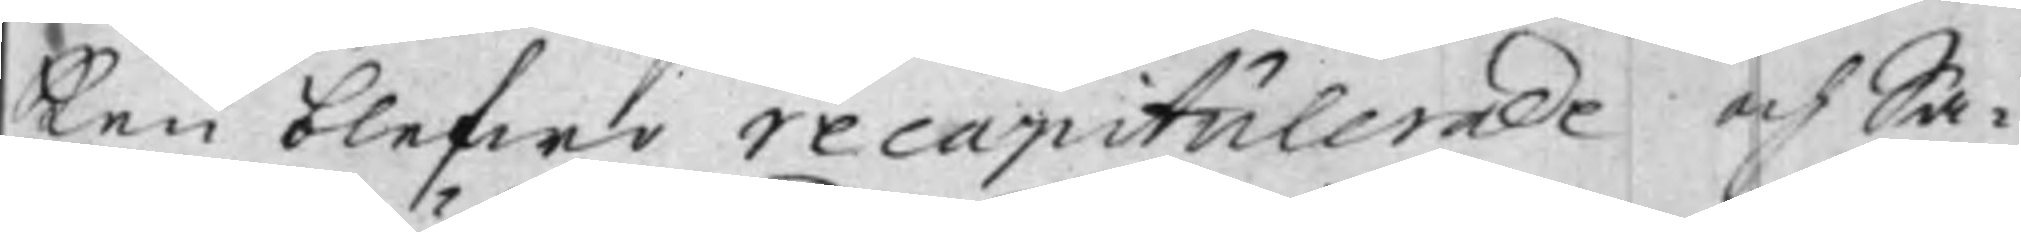ken blefwo recapitulerade och Sa¬
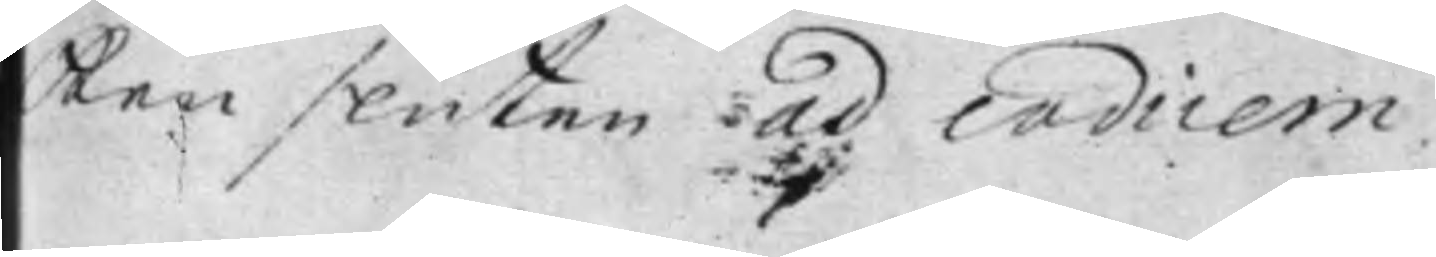ken sluten ad codicem.
